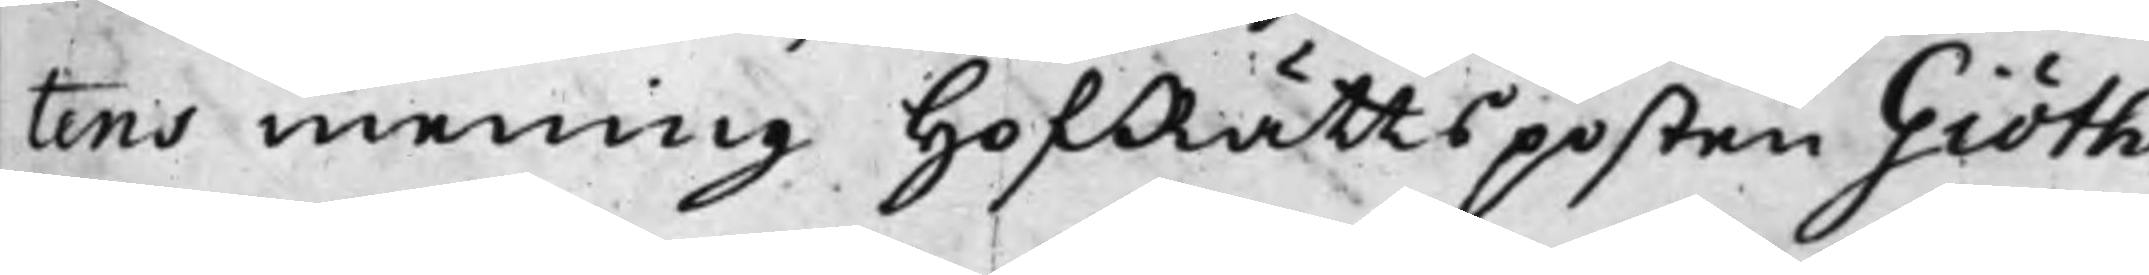tens mening HofRättsposten Giöth¬
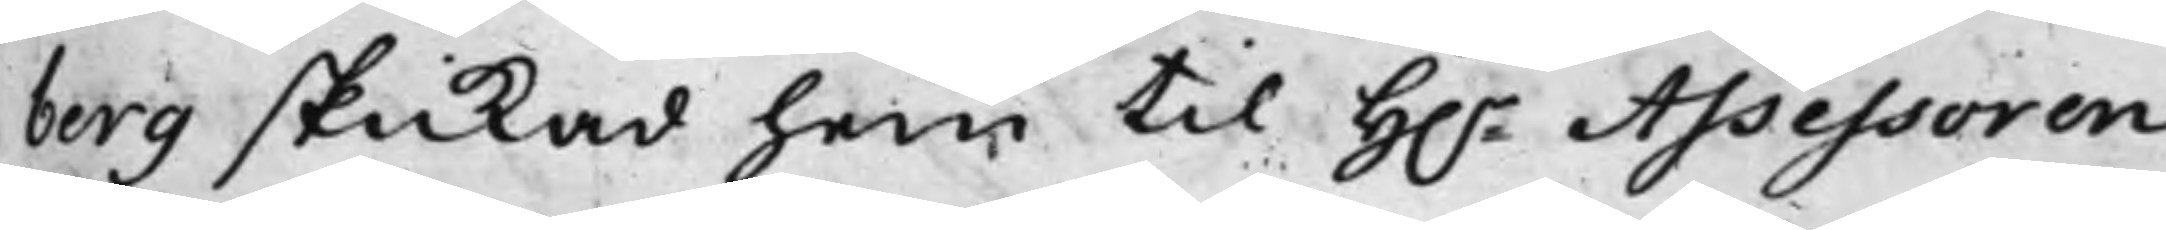berg skickad hem til h.r Assessoren
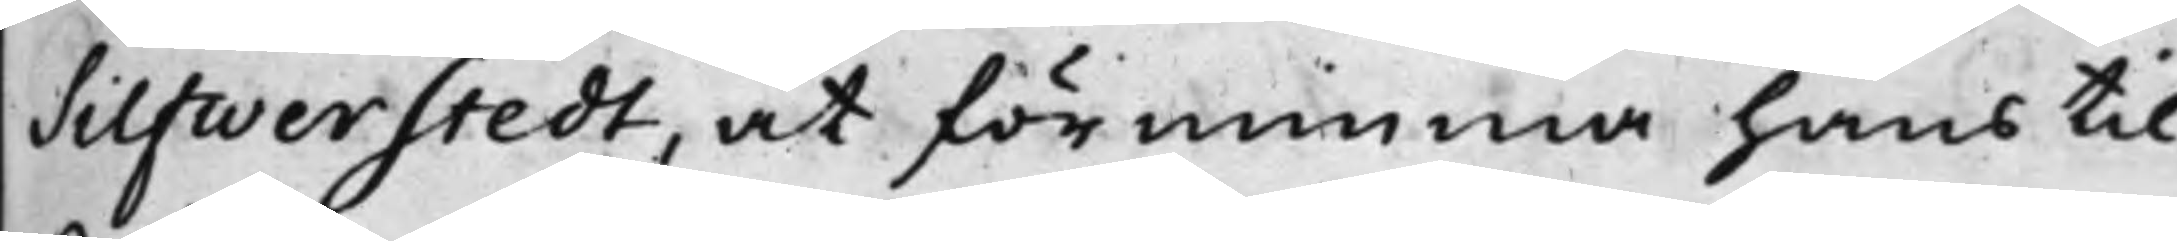Silfwerstedt, at förminna hans til¬
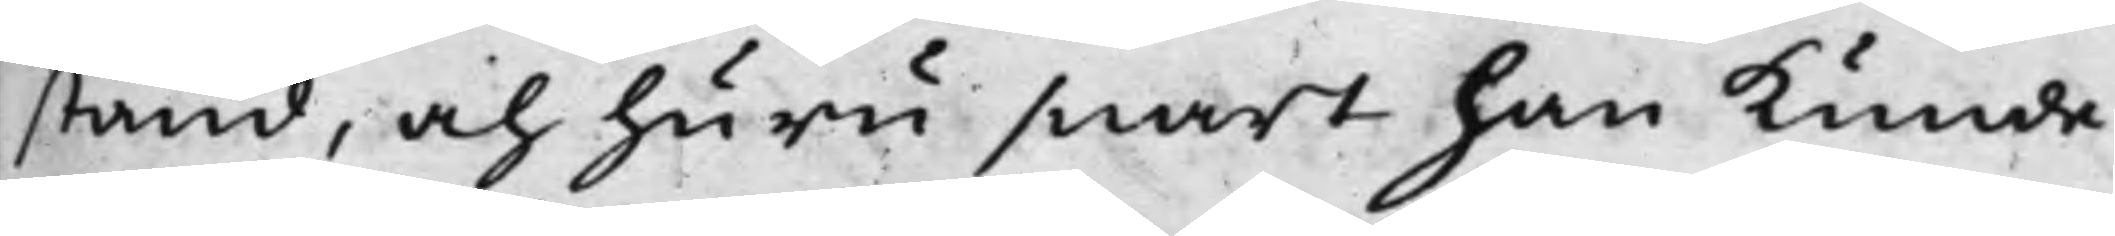stånd, och huru snart han kunde
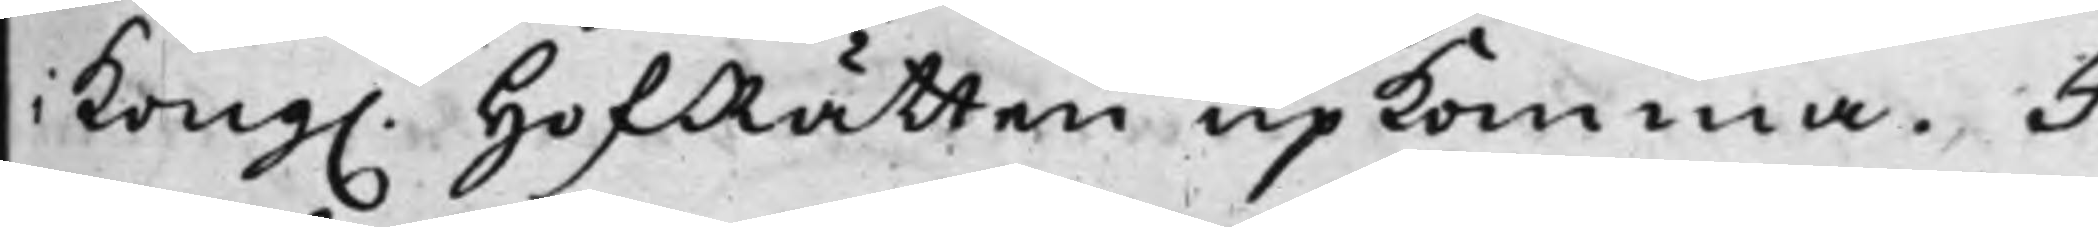Kong. HofRätten upkomma. I¬
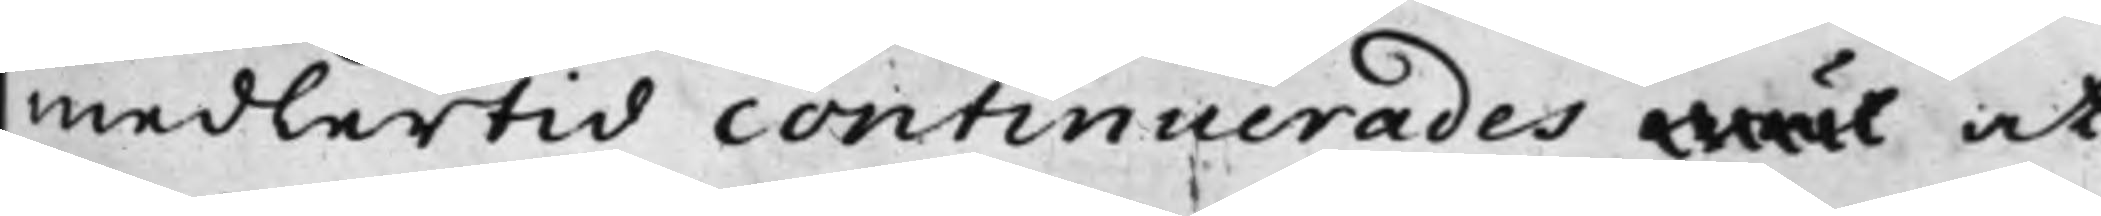medlertid continuerades wäl at
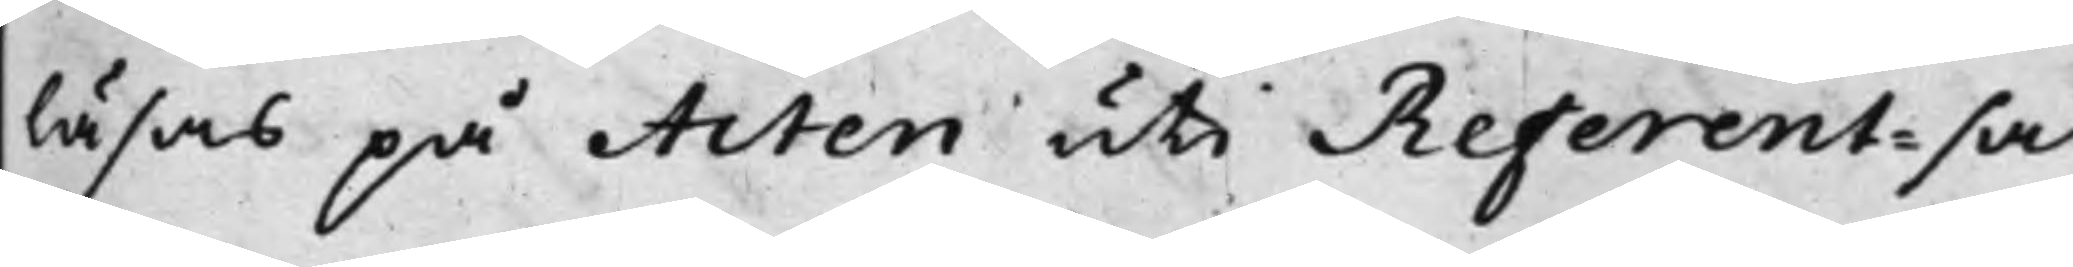läsas på Acten uti Referent-sa¬
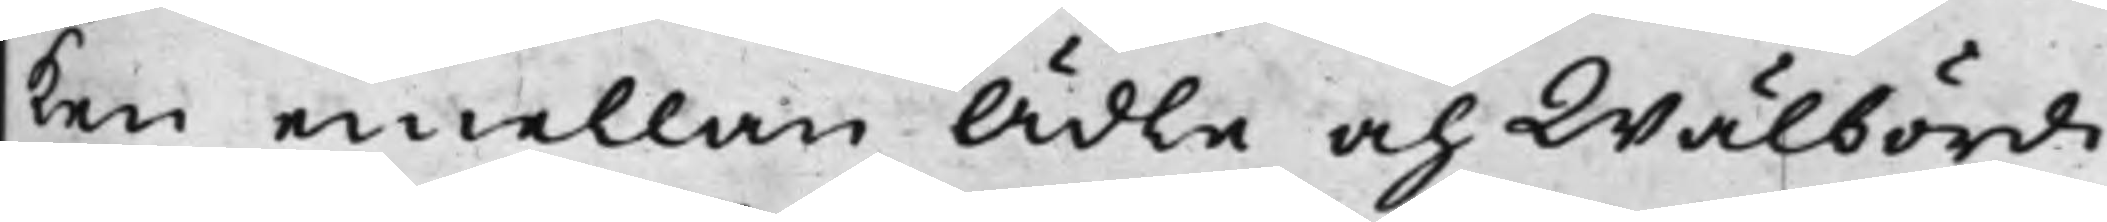ken emellan Ädle och Wälbördi¬
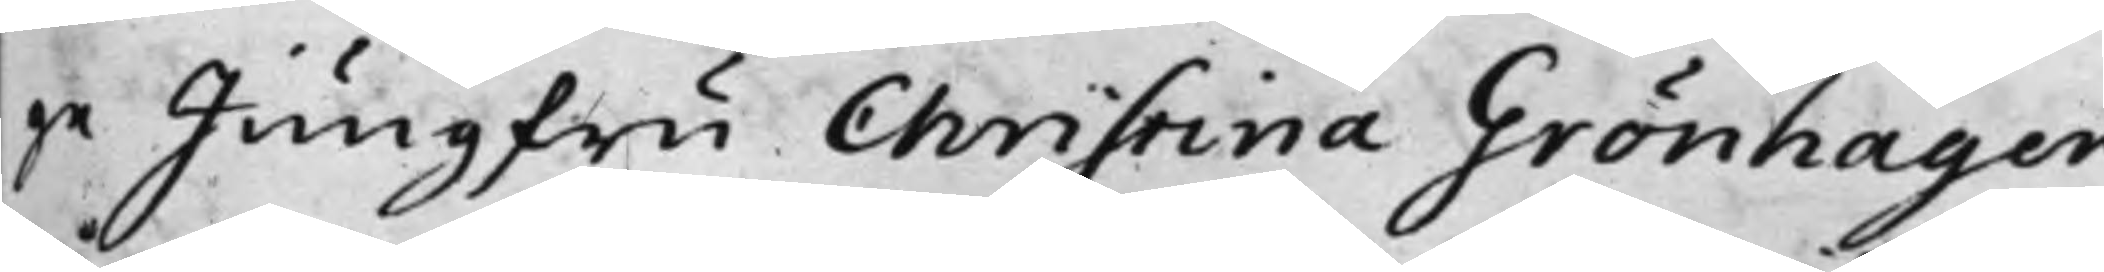ge Jungfru Christina Grönhagen,
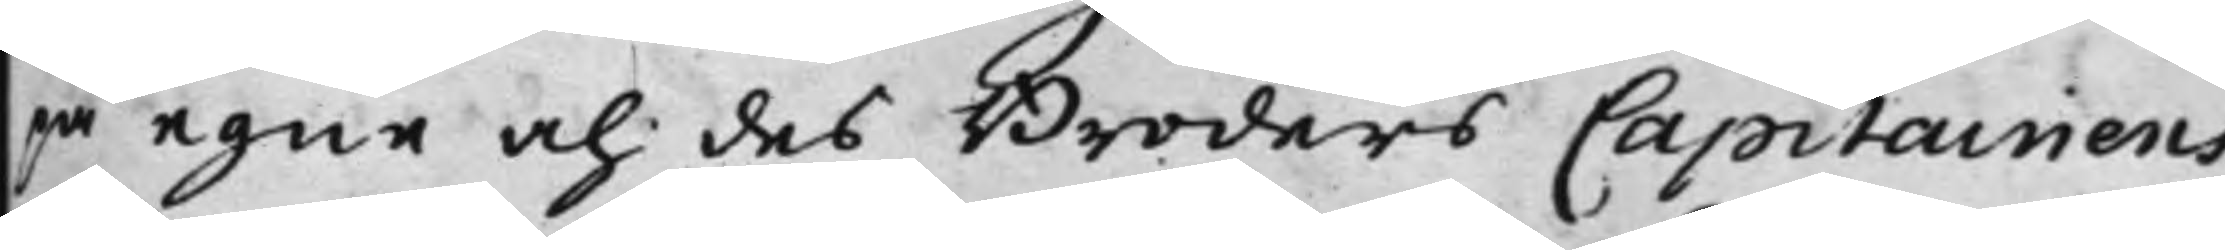på egne och des Broders Capitainens
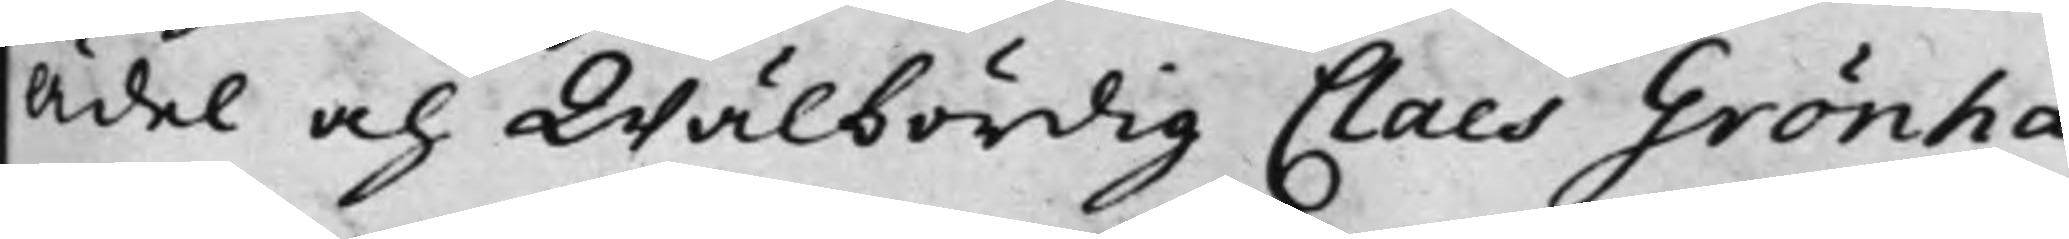Ädel och Wälbördig Claes Grönha¬
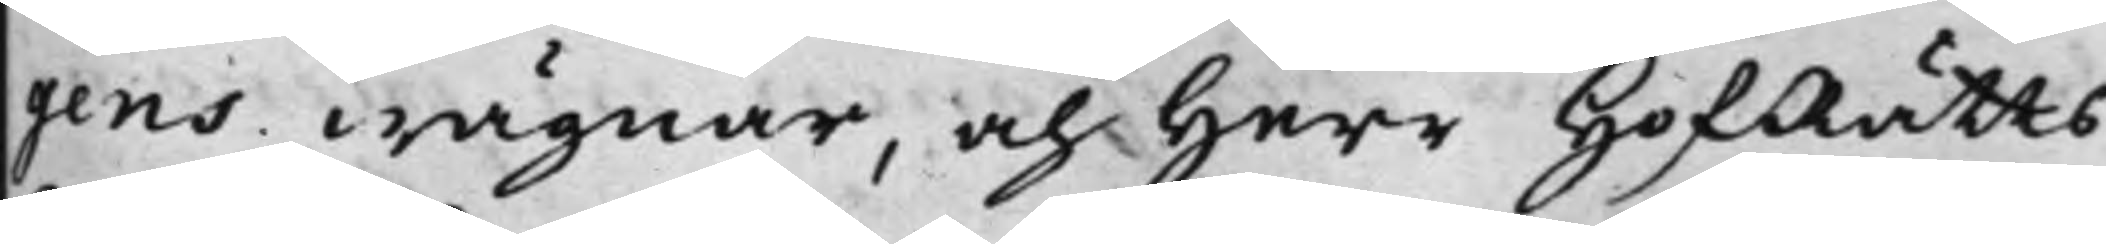gens wägnar, och Herr HofRätts¬
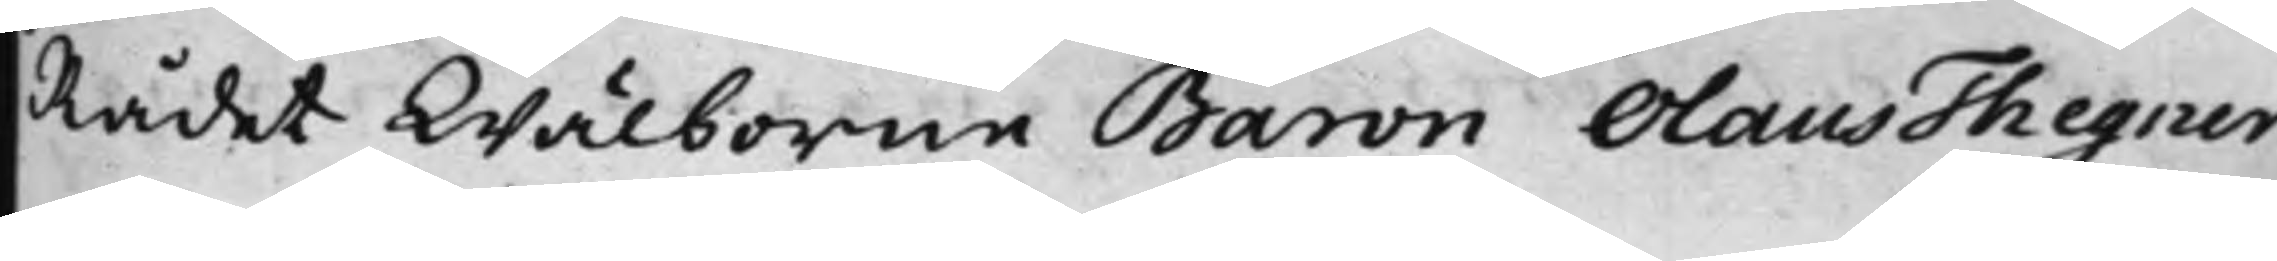Rådet Wälborne Baron Olaus Thegner.
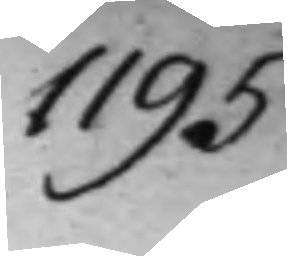1195.
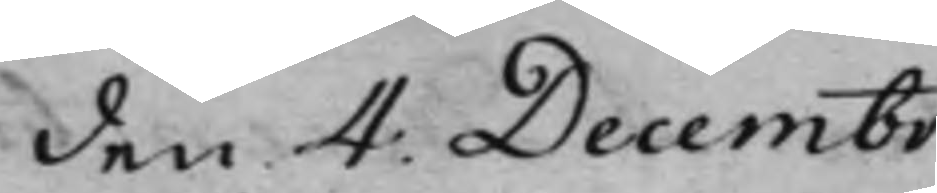den 4: Decembr.
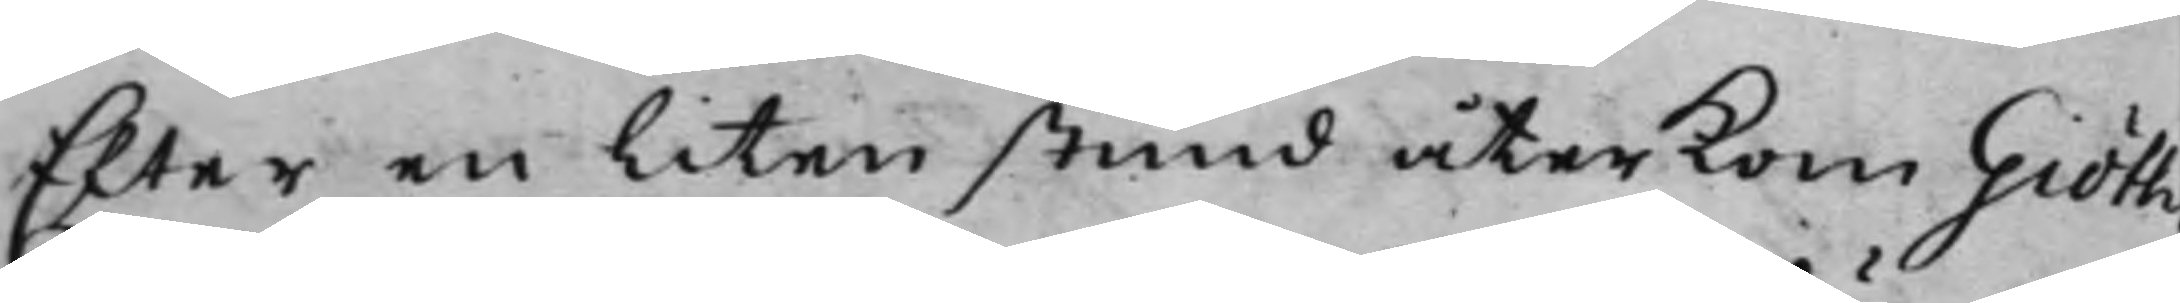Efter en liten stund återkom Giöth¬
